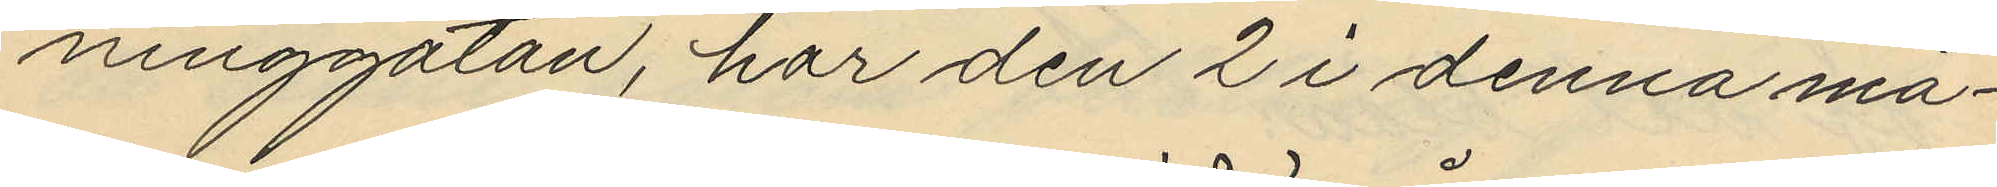ninggatan, har den 2 i denna må¬
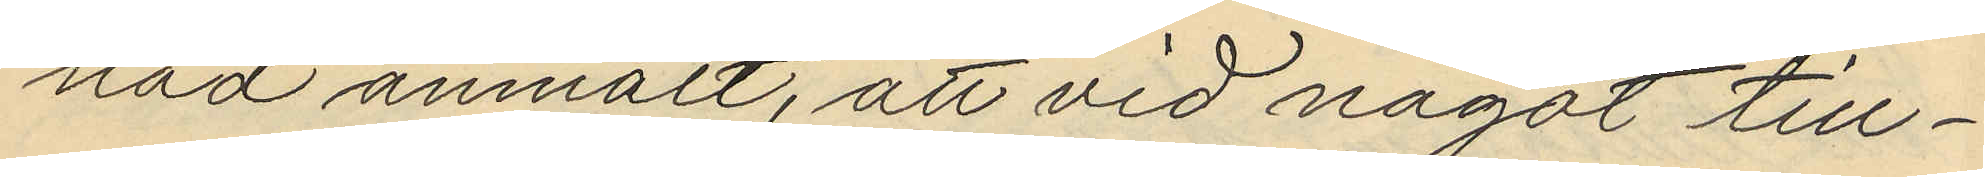nad anmält, att vid något till¬
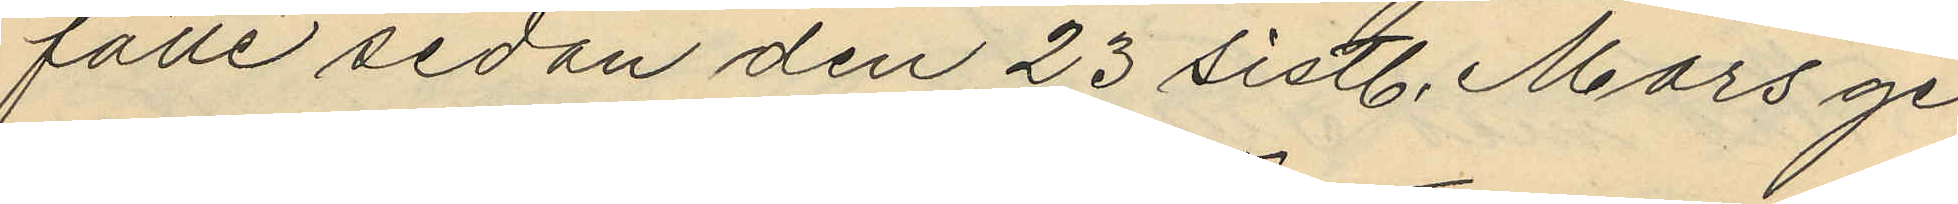fälle sedan den 23 sistl. Mars ge
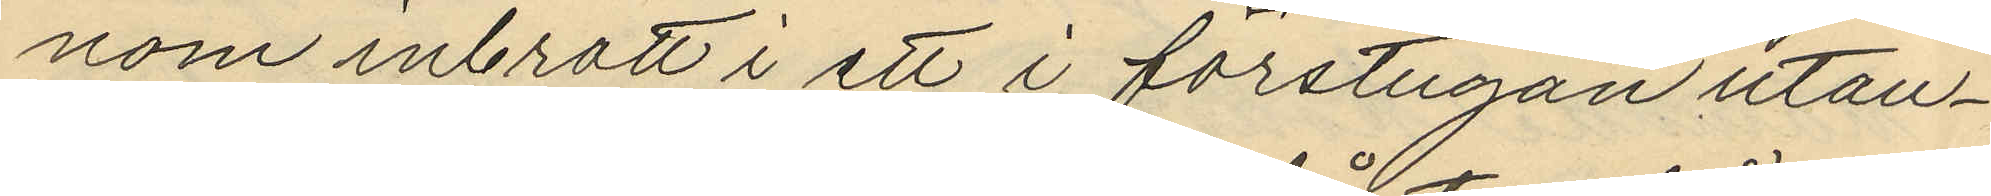nom inbrott i ett i förstugan utan¬
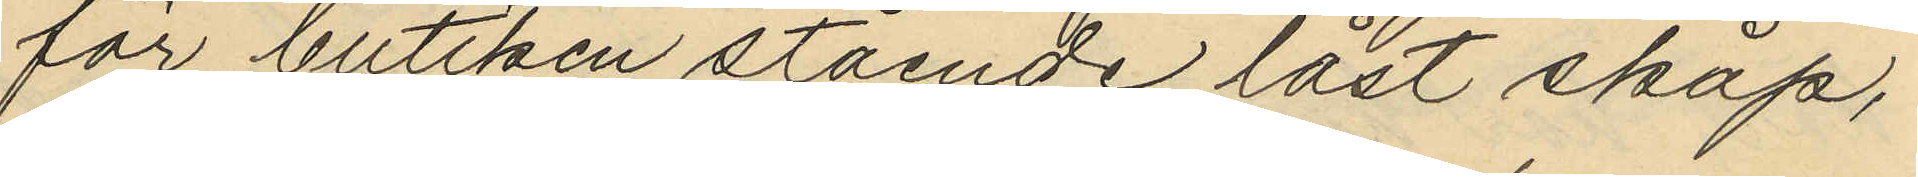för butiken stående låst skåp;
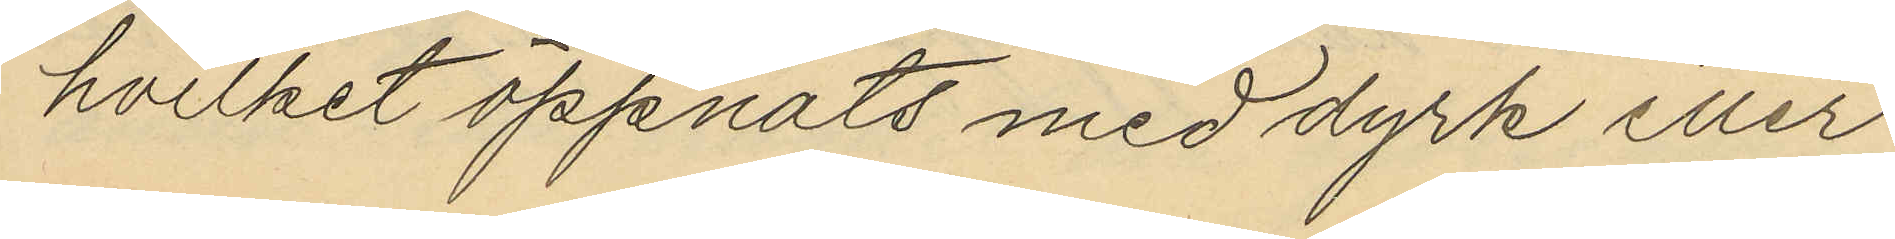hvilket öppnats med dyrk eller
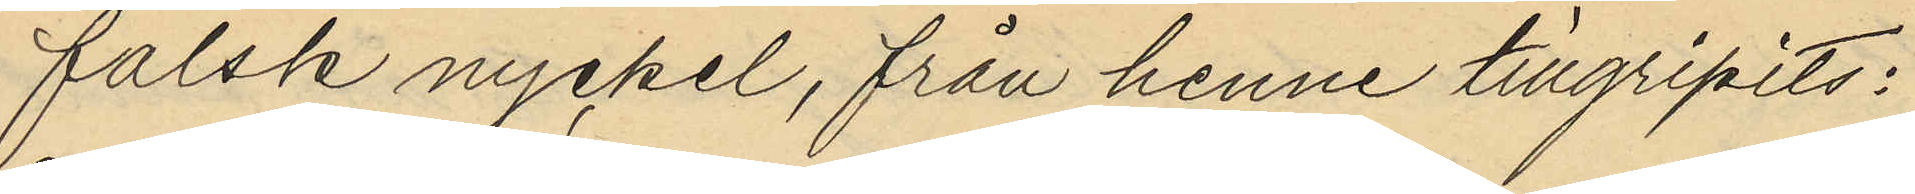falsk nyckel, från henne tillgripits:
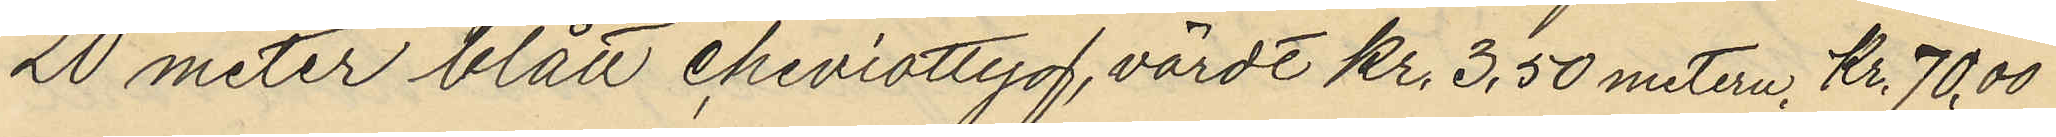20 meter blått cheviottyg, värdt Kr. 3,50 metern, Kr. 70,00
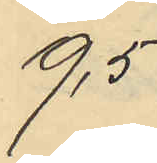9,5
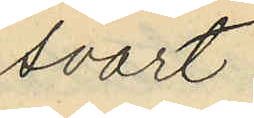svart
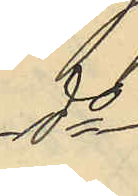do
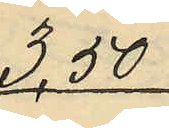3,50
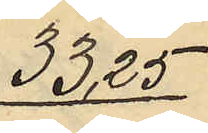33,25
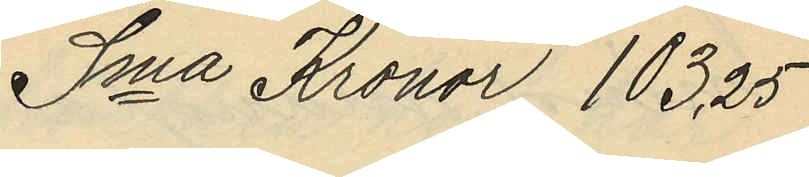Sma Kronor 103,25
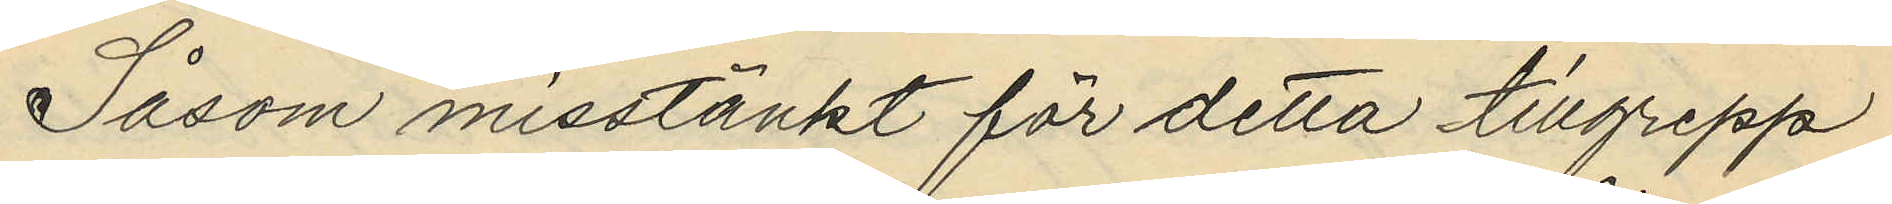Såsom misstänkt för detta tillgrepp
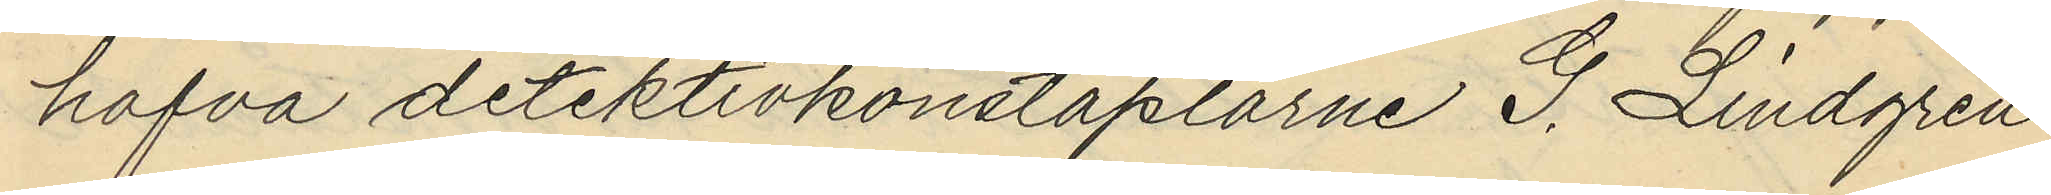hafva detektivkonstaplarne G. Lindgren
